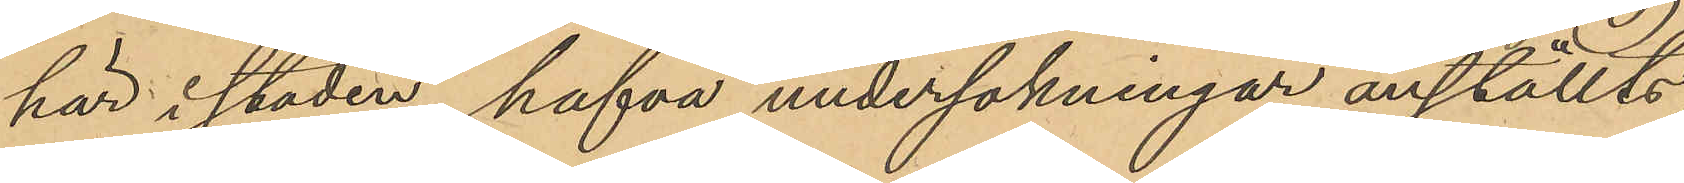här i staden, hafva undersökningar anställts;
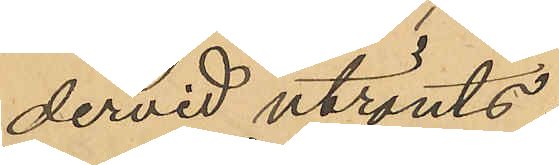dervid utrönts:
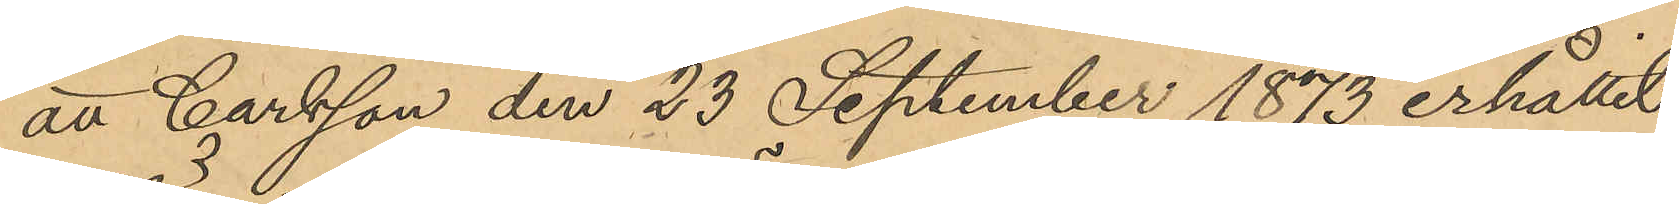att Carlsson den 23 September 1873 erhållit
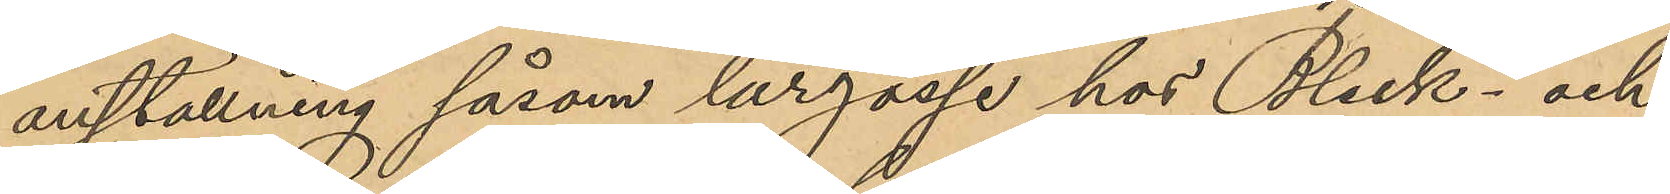anställning såsom lärgosse hos Bleck- och
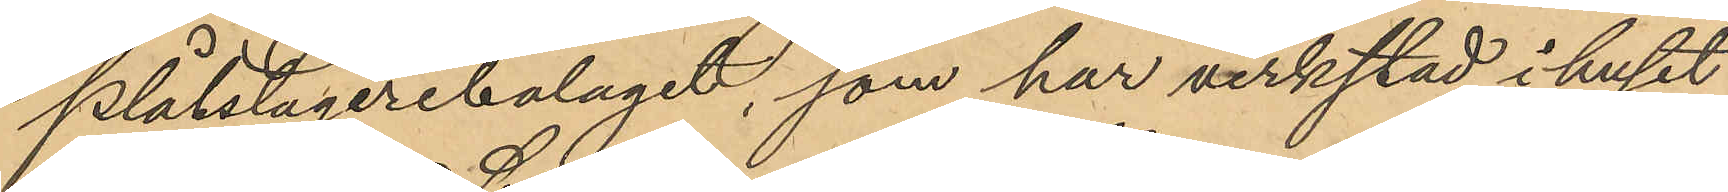plåtslageribolaget, som har verkstad i huset
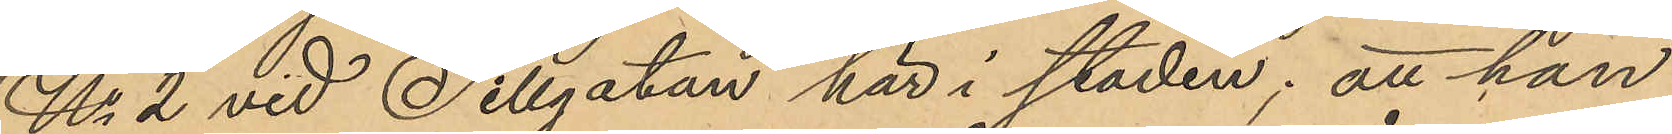No 2 vid Sillgatan här i staden; att han
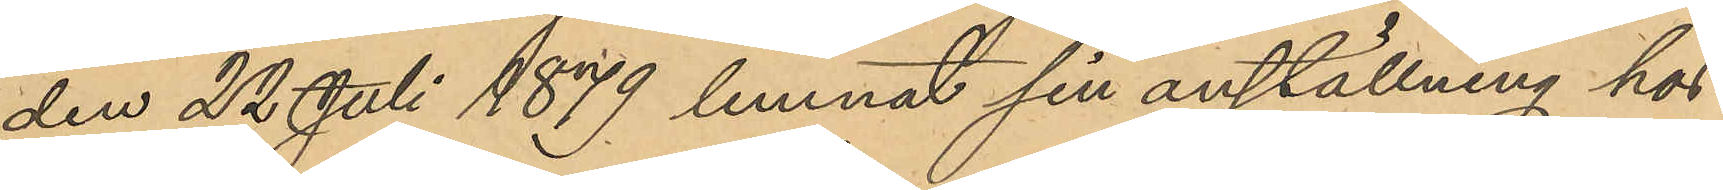den 22 Juli 1879 lemnat sin anställning hos
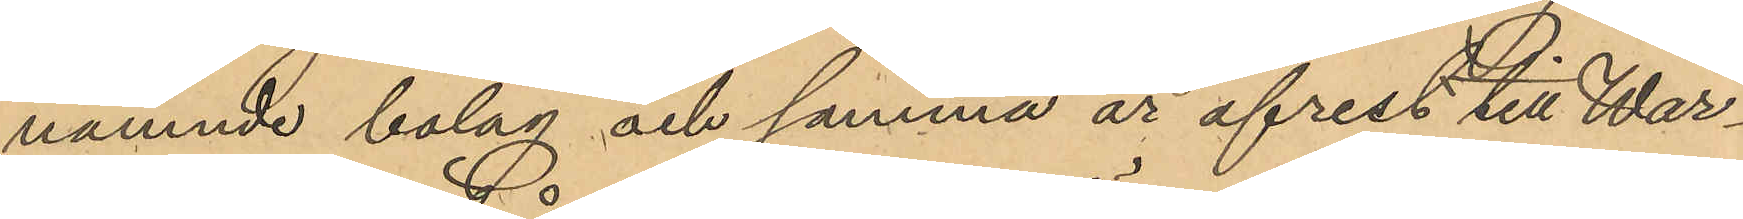nämnde bolag och samma år afrest till War¬
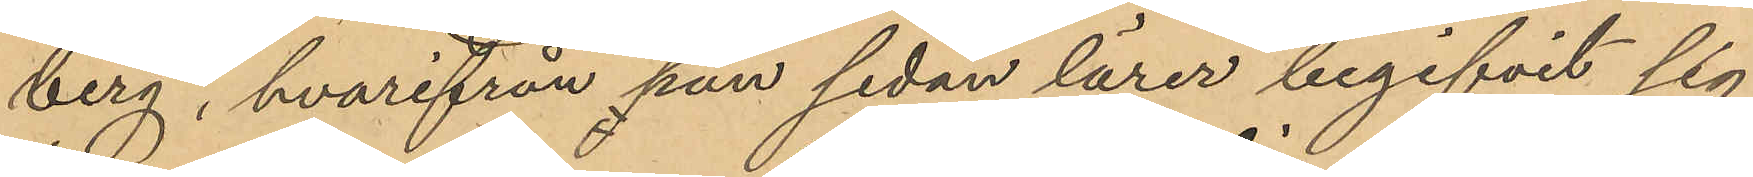berg, hvarifrån han sedan lärer begifvit sig
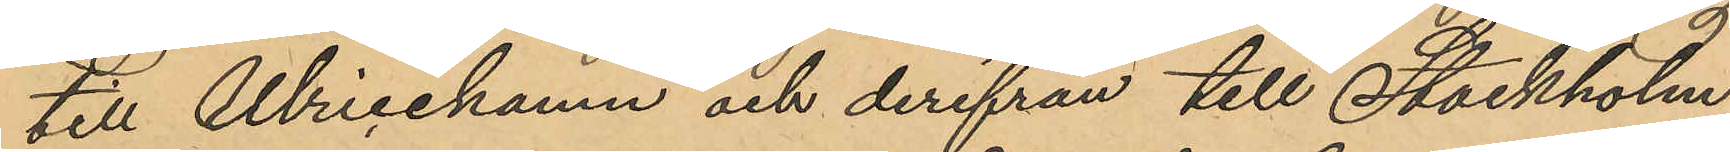till Ulricehamn och derifrån till Stockholm,
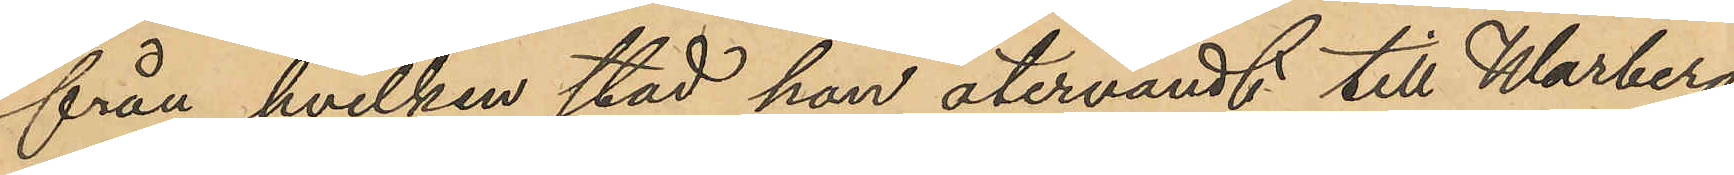från hvilken stad han återvändt till Warberg
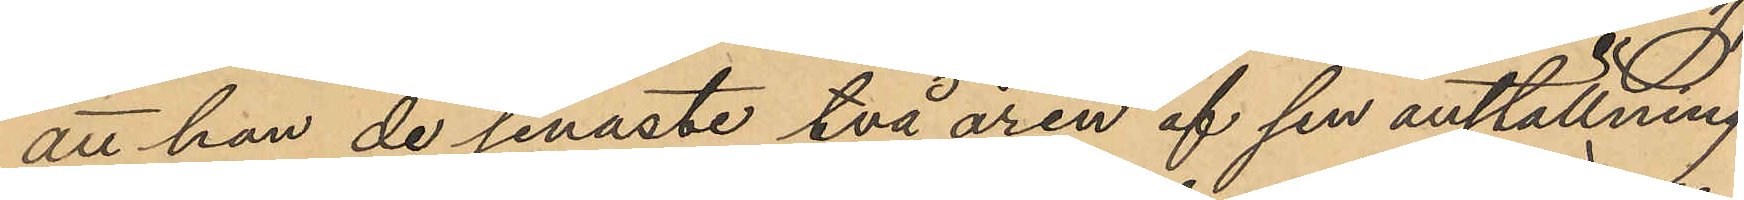att han de senaste två åren af sin anställning
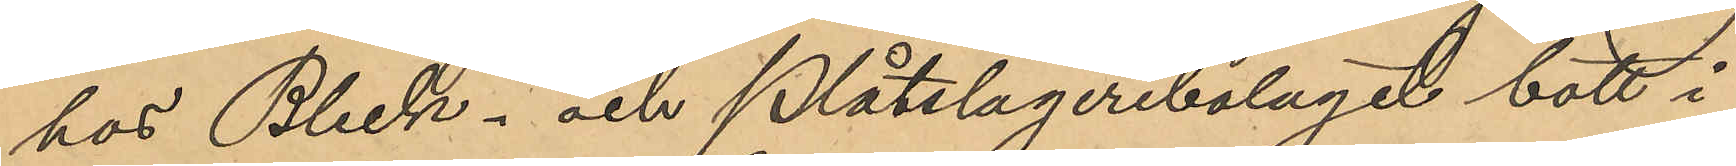hos Bleck- och Plåtslageribolaget bott i
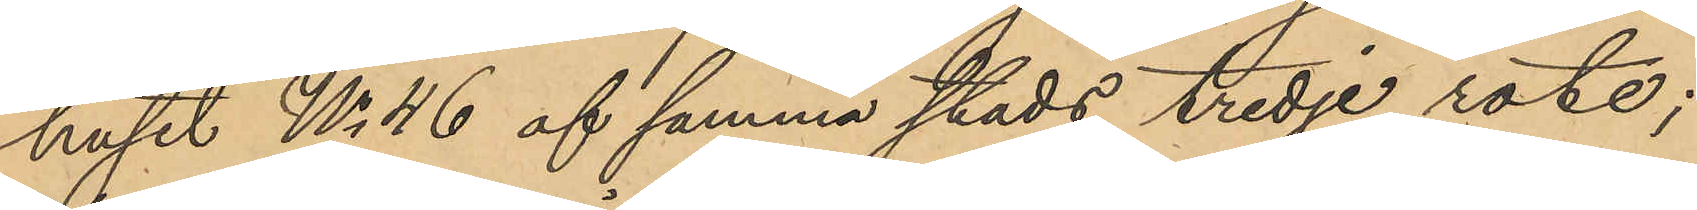huset No 46 af samma stads tredje rote;
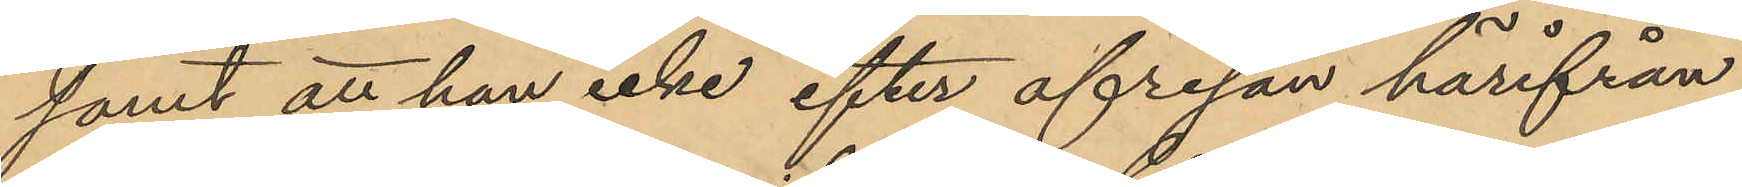samt att han icke efter afresan härifrån
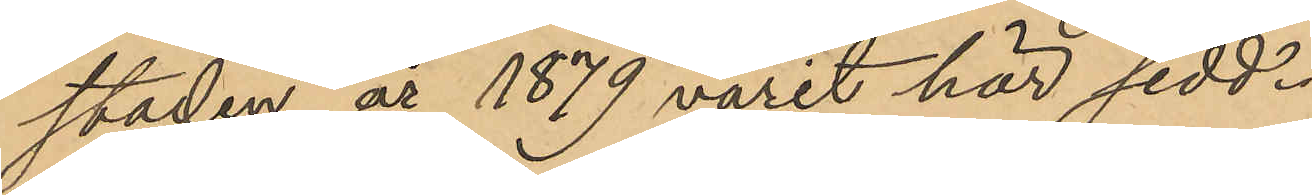staden år 1879 varit här sedd.
